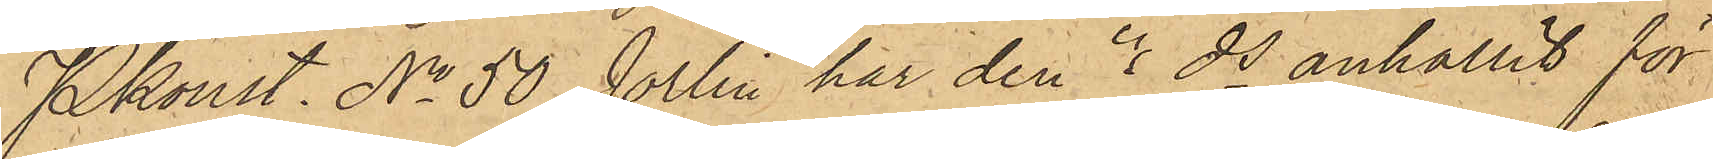Pkonst. No 50 Jörlin har den 4 ds anhållit för
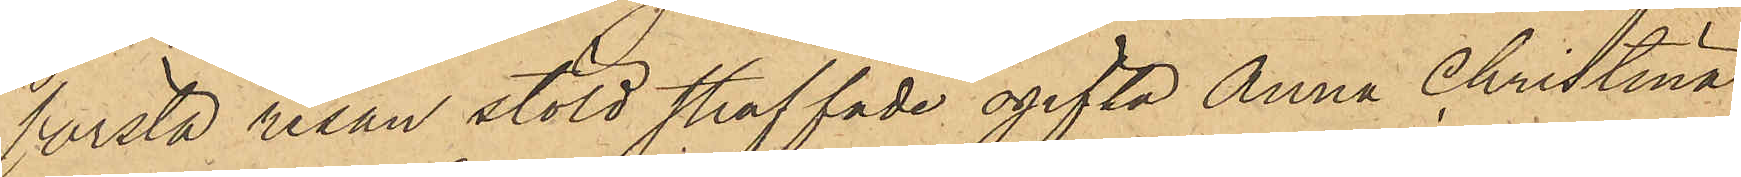första resan stöld straffade ogifta Anna Christina
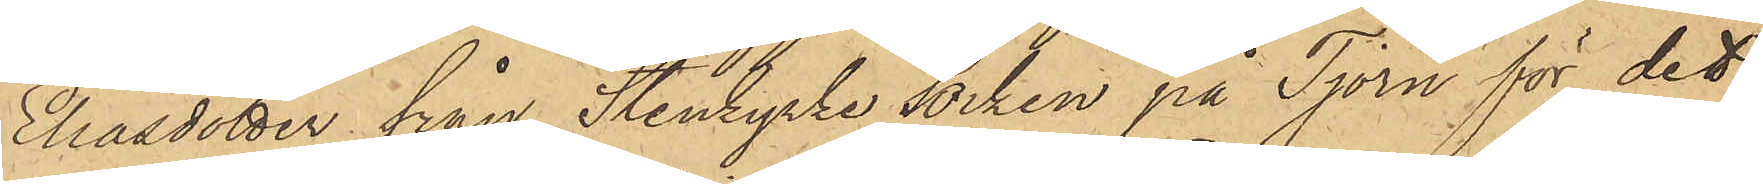Eliasdotter från Stenkyrke socken på Tjörn för det
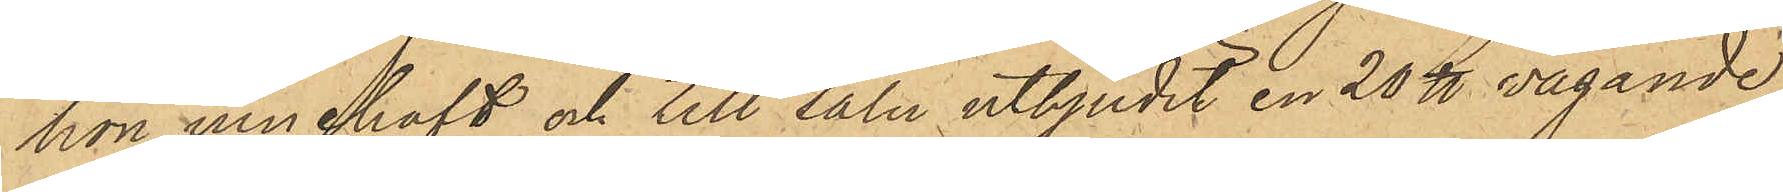hon innehaft och till salu utbjudit en 20 ℔ vägande
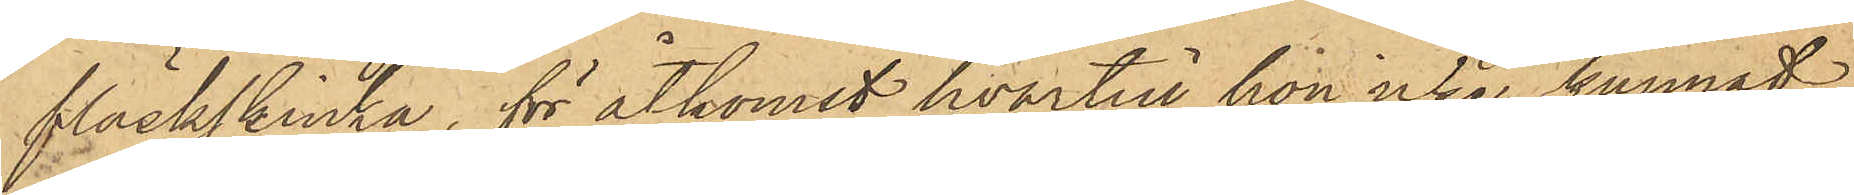fläskskinka, för åtkomst hvartill hon icke kunnat
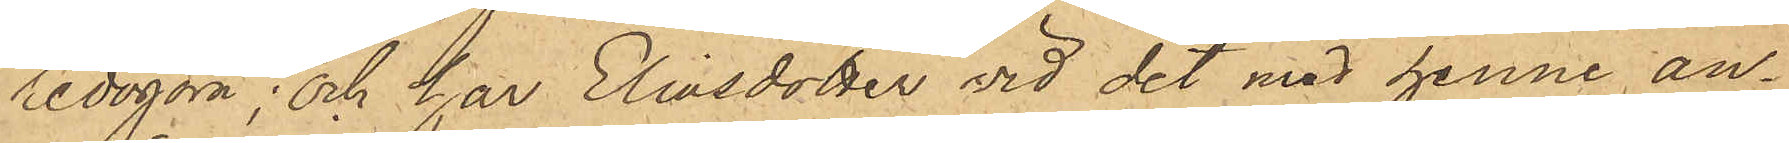redogöra; och har Eliasdotter vid det med henne an¬
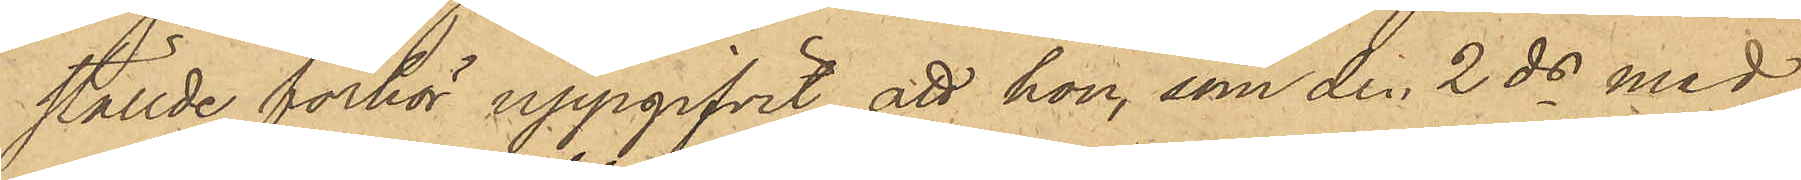ställde förhör uppgifvit, att hon, som den 2 ds med
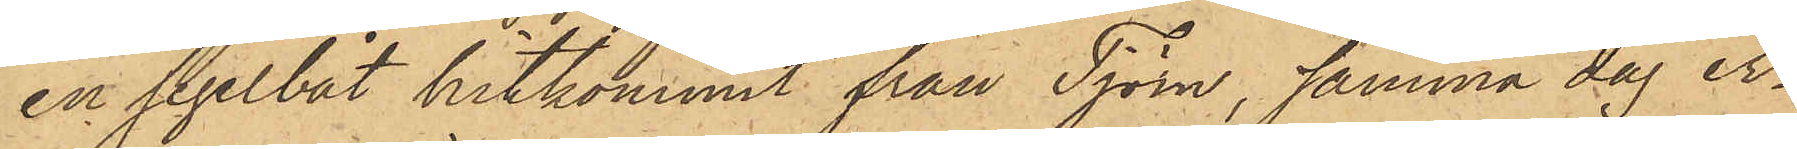en segelbåt hitkommit från Tjörn, samma dag er¬
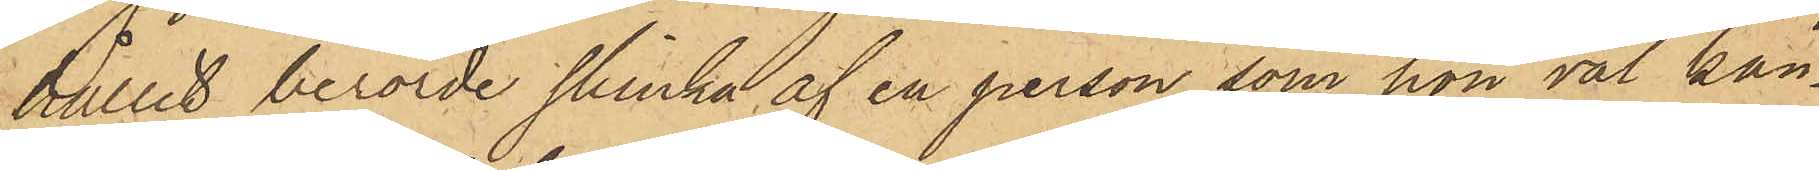hållit berörde skinka af en person som hon väl kän¬
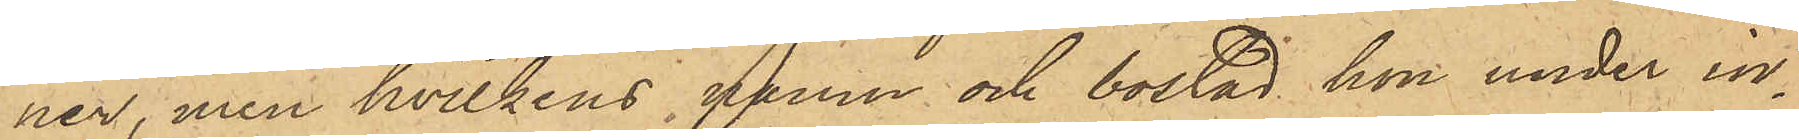ner, men hvilkens namn och bostad hon under in¬
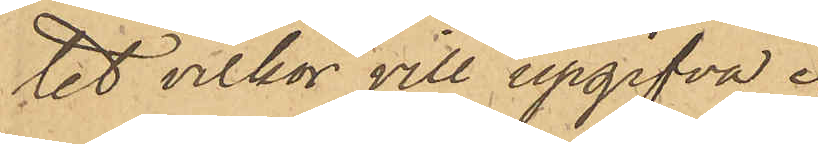tet vilkor vill upgifva.
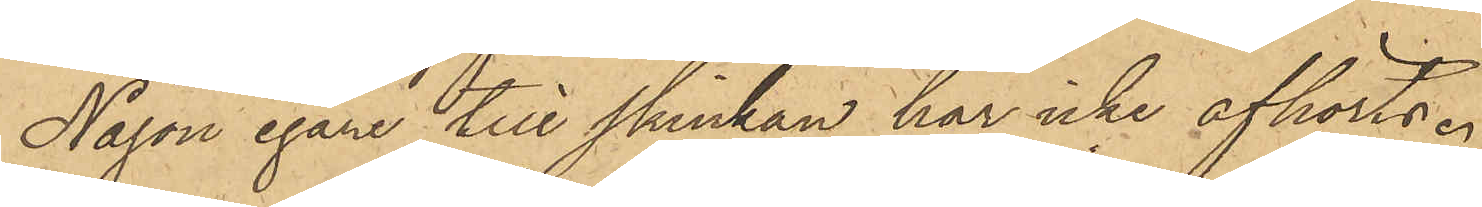Någon egare till skinkan har icke afhörts.
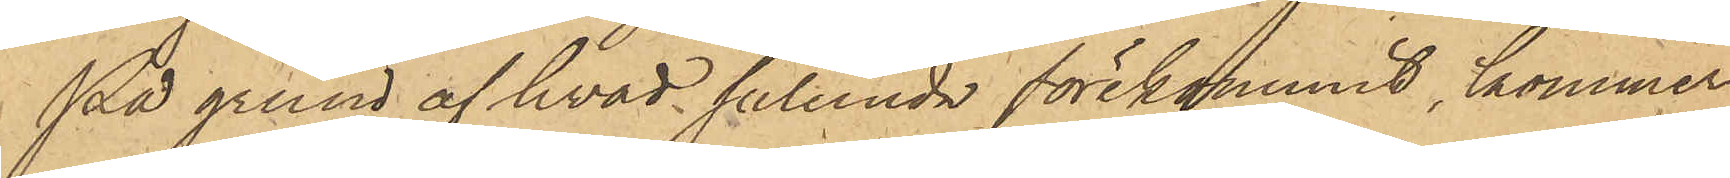På grund af hvad sålunda förekommit, kommer
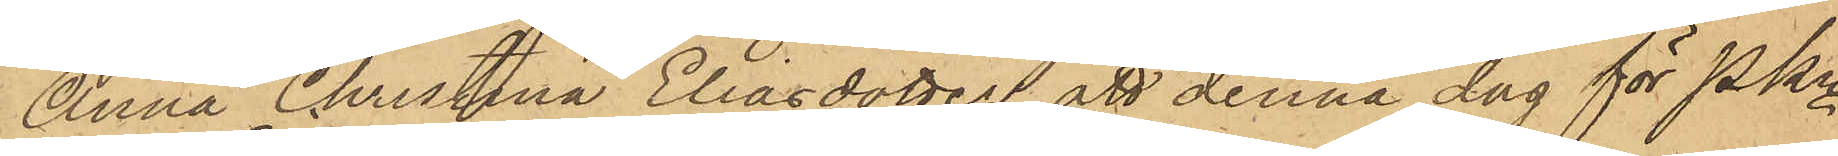Anna Christina Eliasdotter att denna dag för Pkn
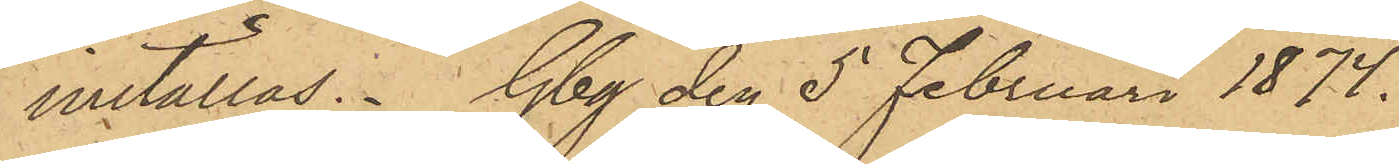inställas. Gbg den 5 Februari 1874.
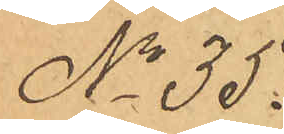No 35.
